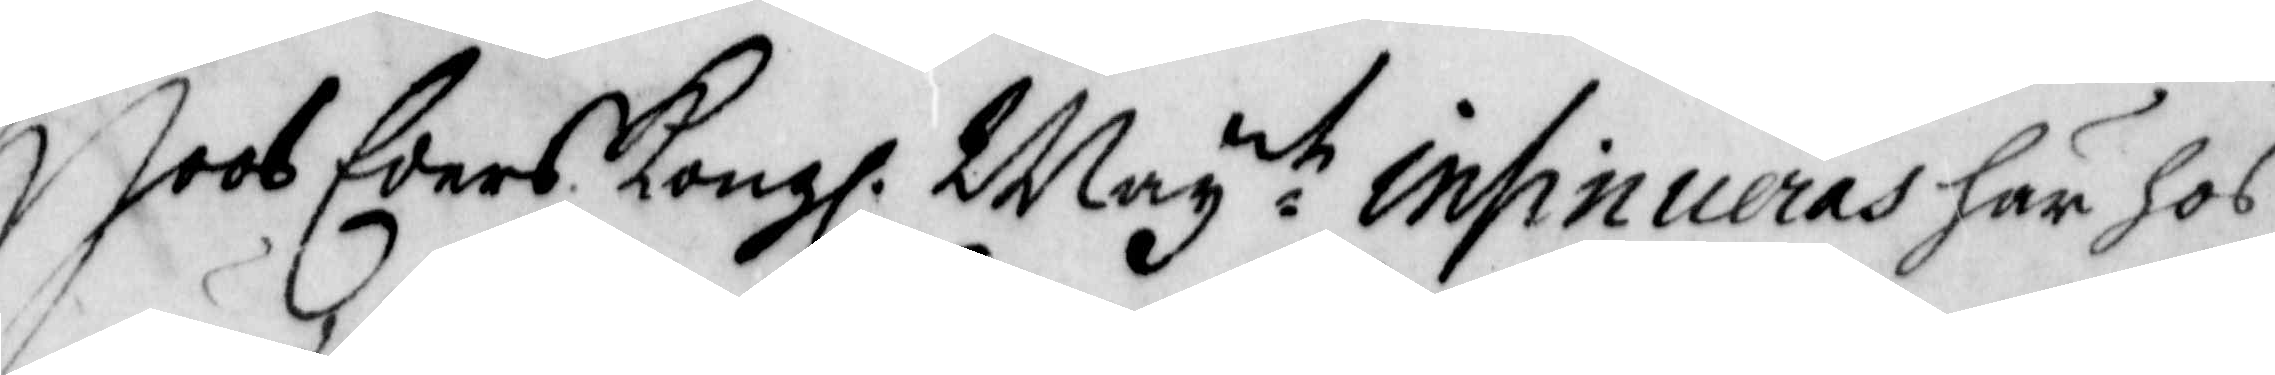Hoos Eders Kongl. Mayt insinueras här hos
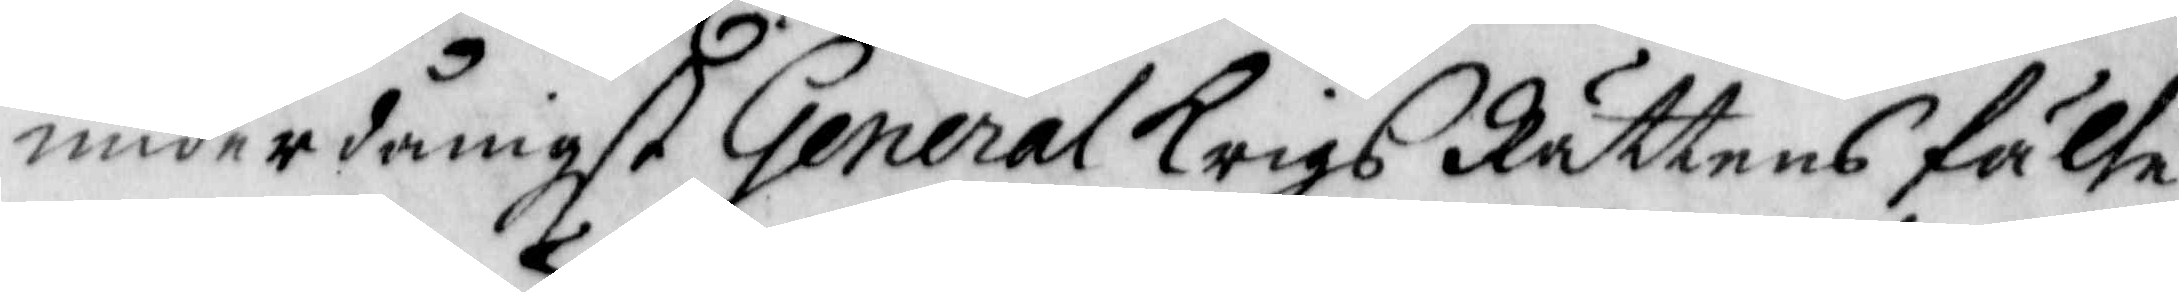underdånigst General Krigs Rättens fälte
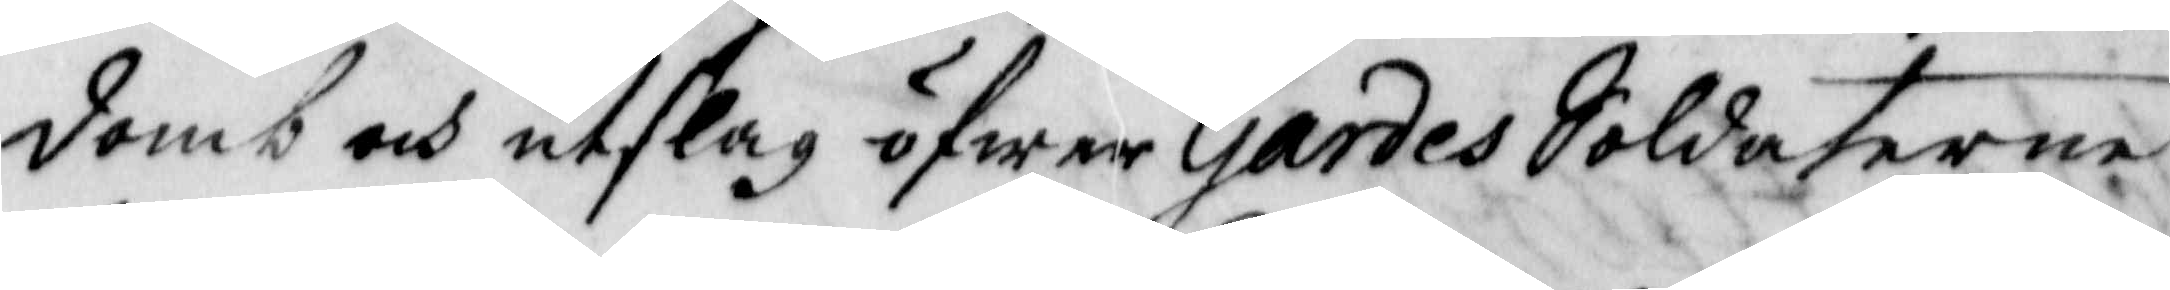domb och utslag öfwer Gardes Soldaterne
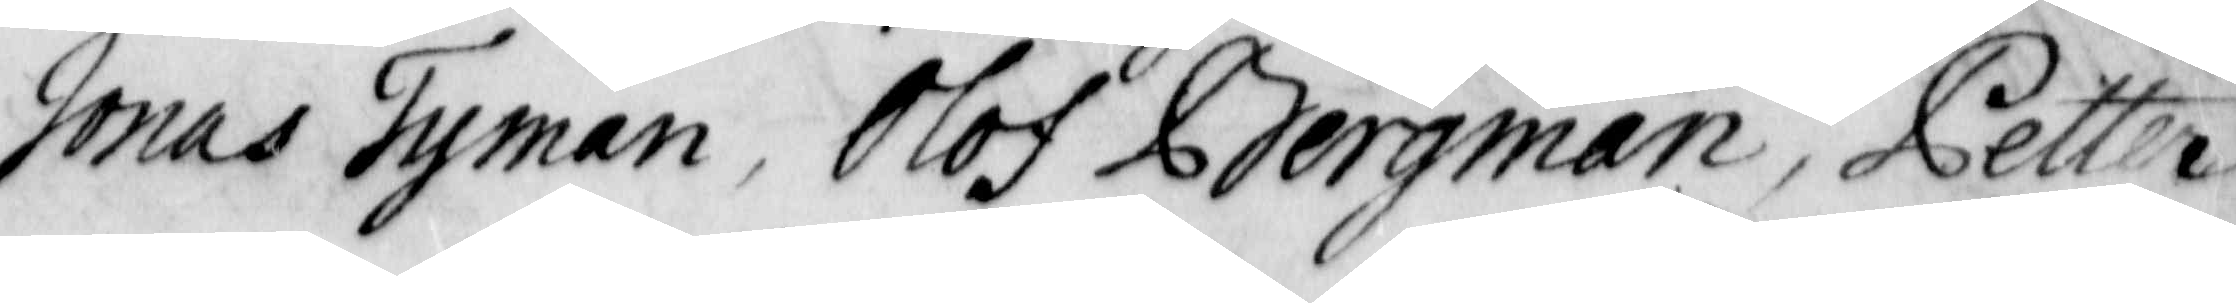Jonas Tyman, Olof Bergman, Petter
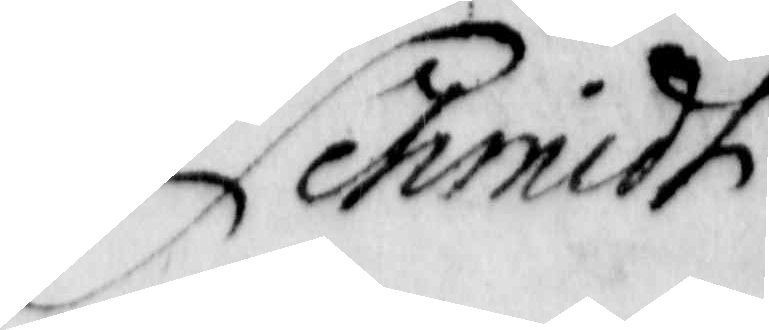Schmidt
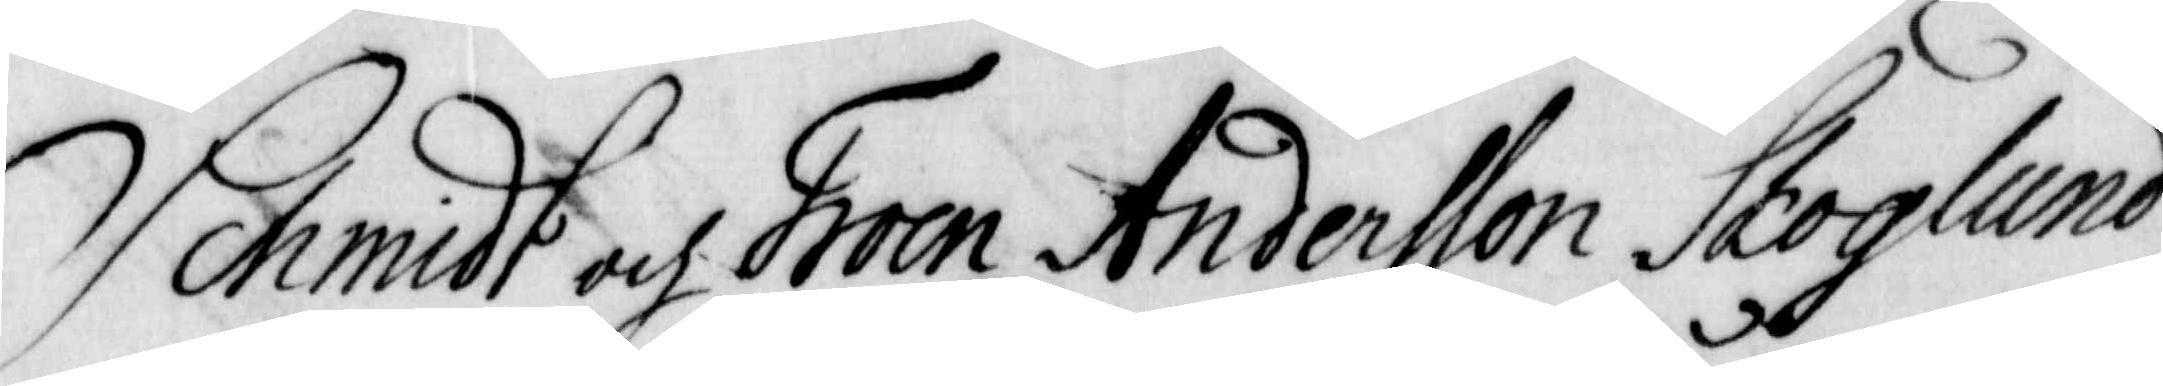Schmidt och Froen Andersson Skoglund
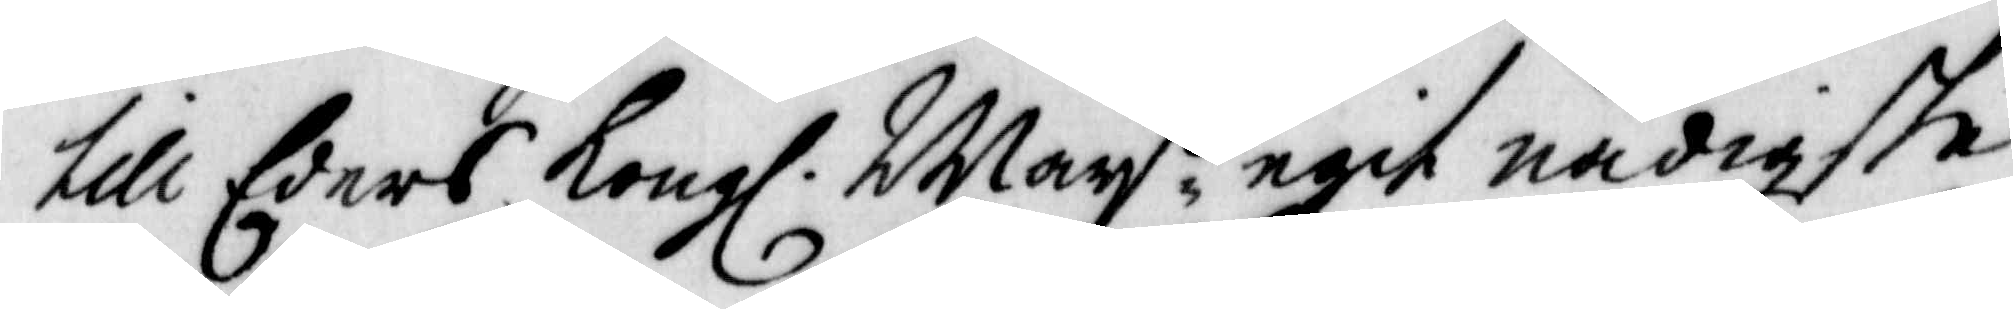till Eders Kongl. Mayß egit nådigste
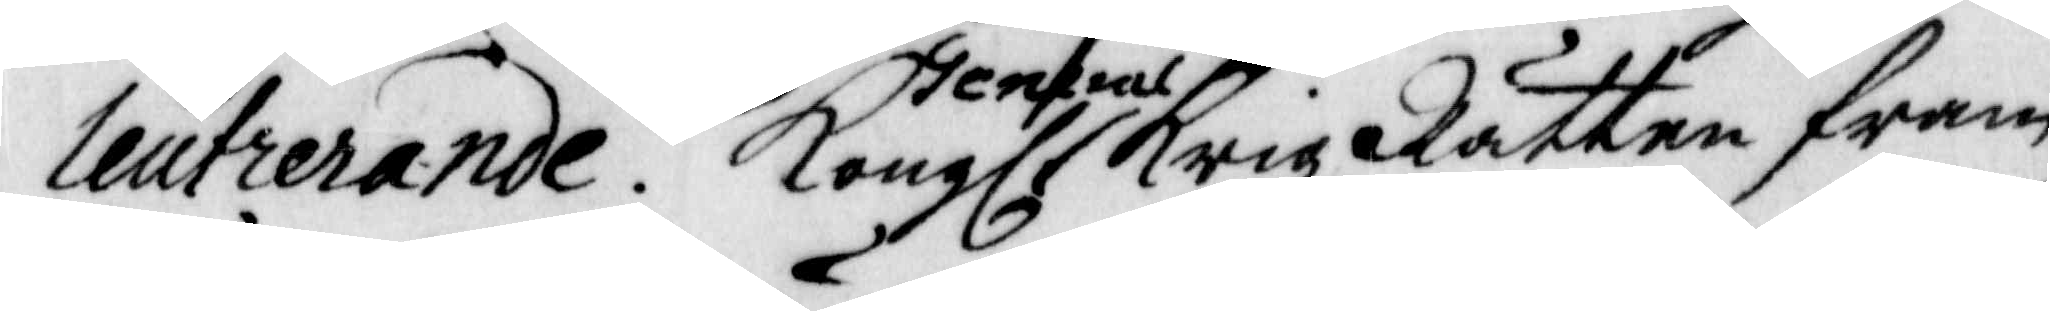leutrerande. Kongl. General Krig Rätten fram¬
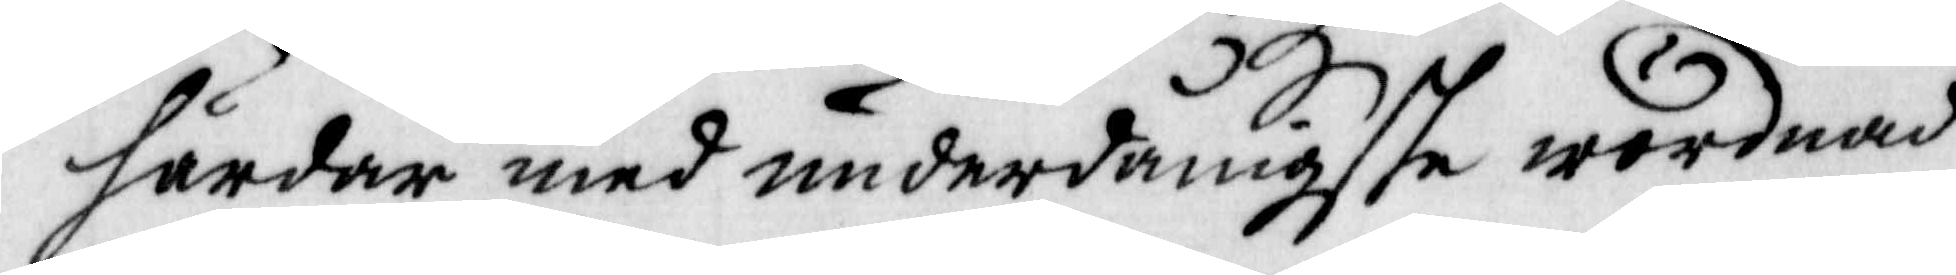härdar med underdånigste wördnad
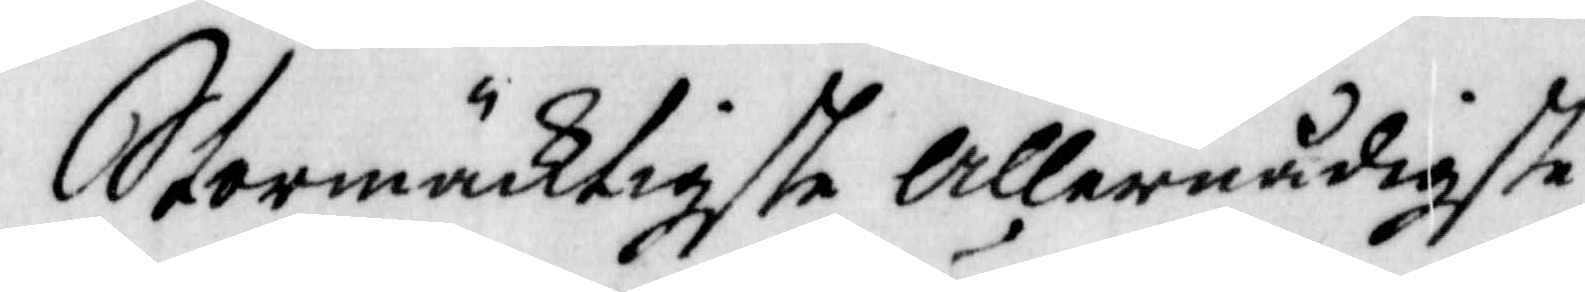Stormäktigste Allernådigste
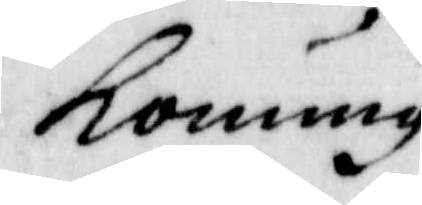Konung
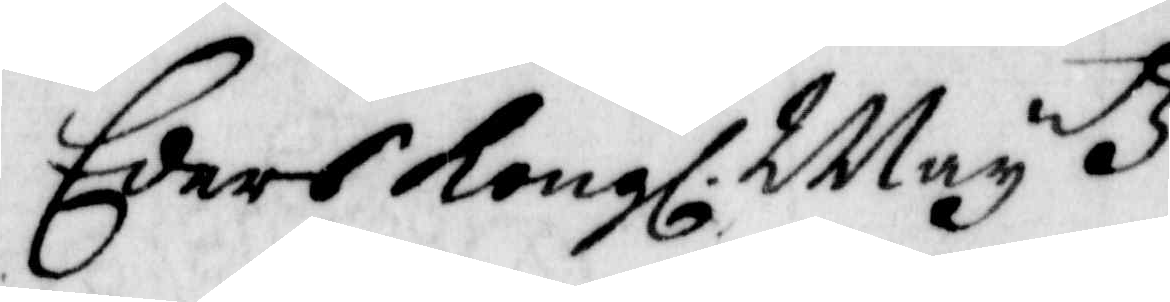Eders Kongl. Maytz
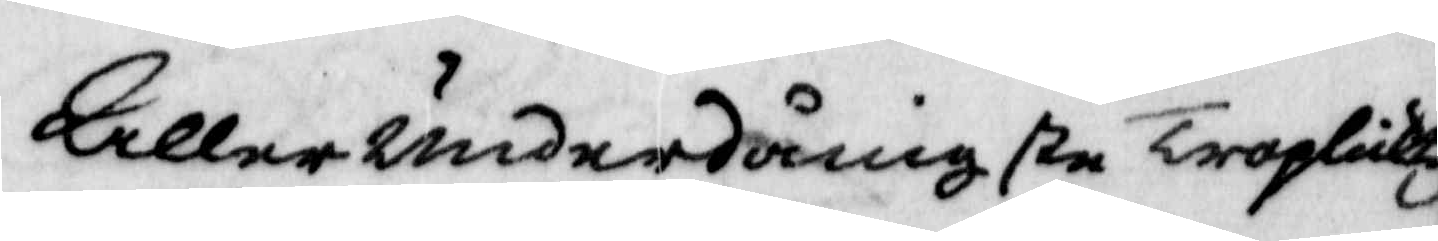Allerunderdånigste tropliktig¬
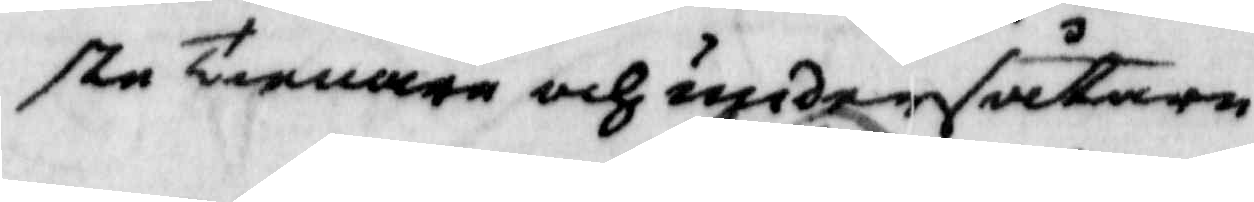ste Tienaren och undersåtare
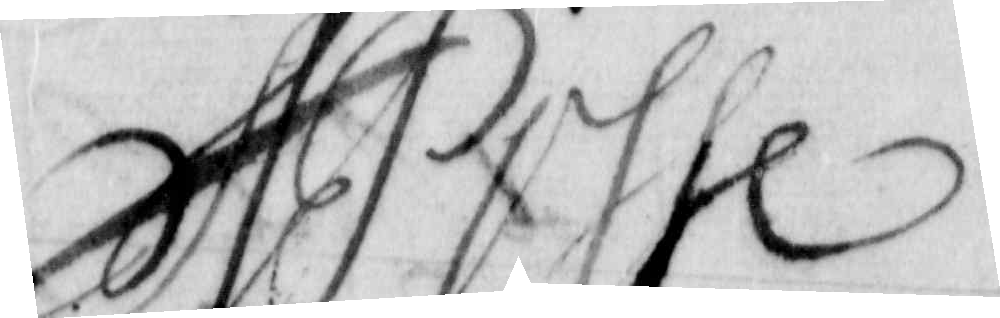A Posse
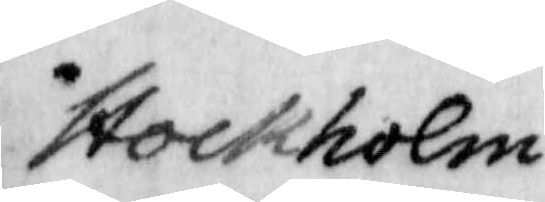Stockholm
